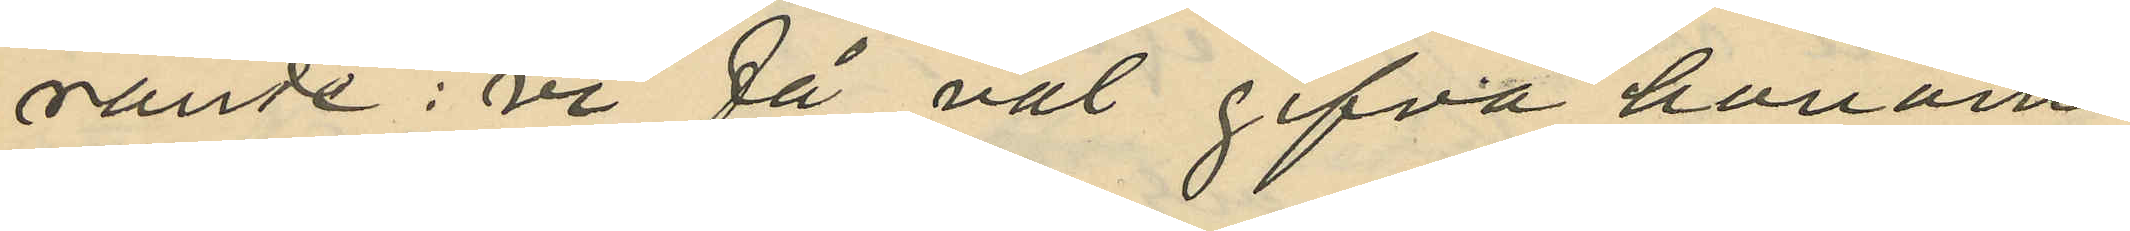rande: "vi få väl gifva honom
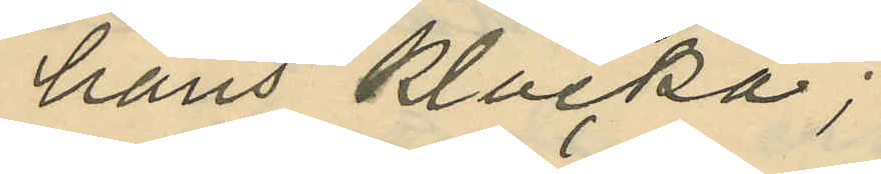hans klocka";
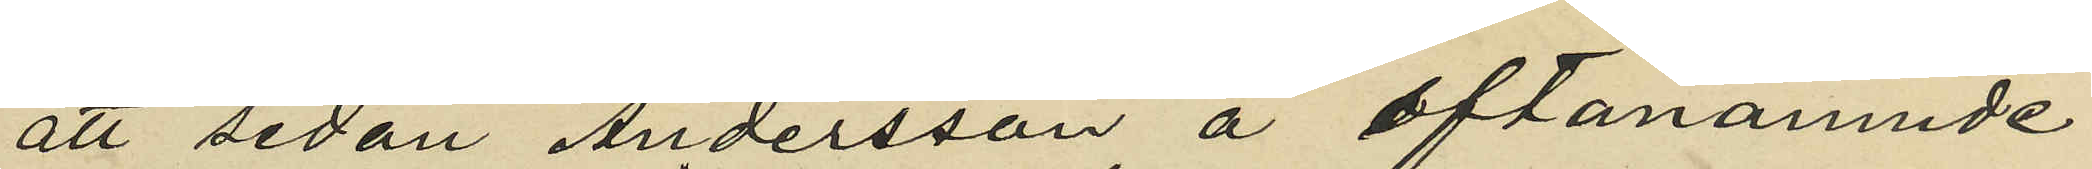att sedan Andersson å oftanämnde
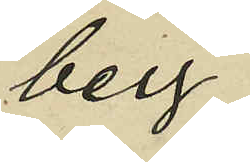berg
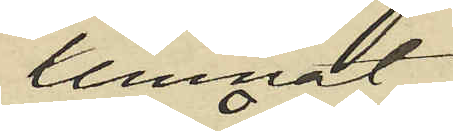lemnat
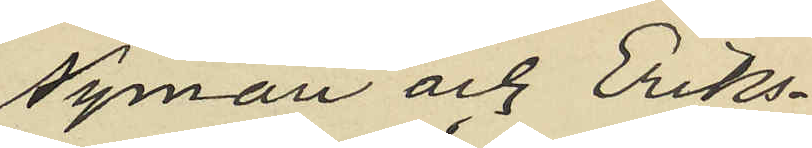Nyman och Eriks¬
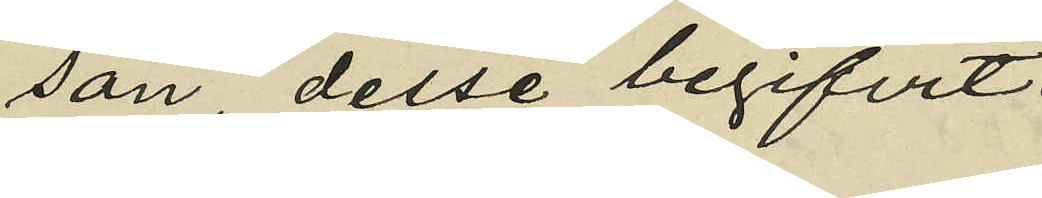son desse begifvit
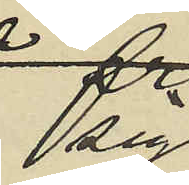sig
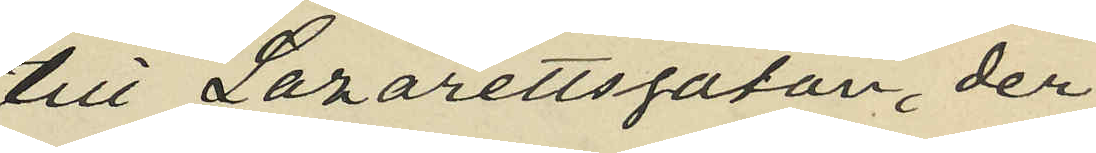till Lazarettsgatan, der
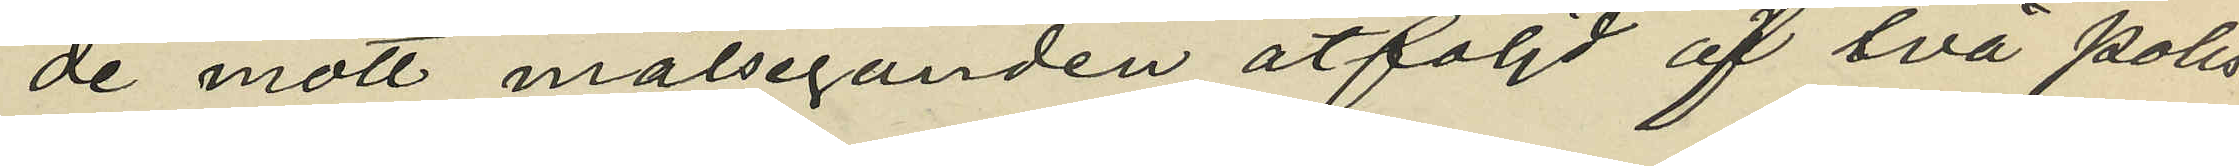de mött målseganden åtföljd af två Polis¬
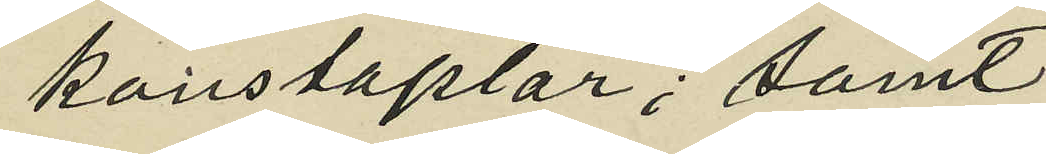konstaplar; samt
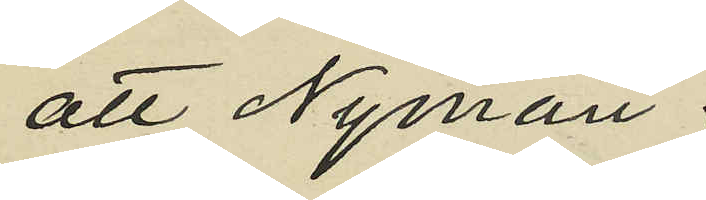att Nyman.
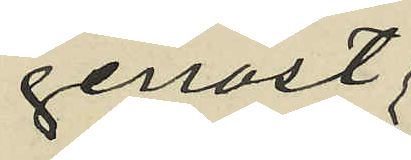genast;
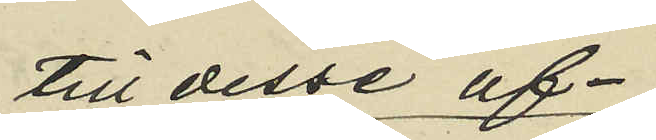till desse af¬
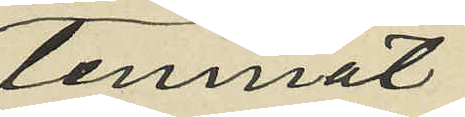lemnat
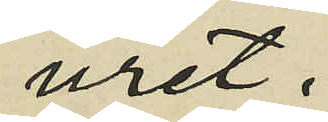uret.
